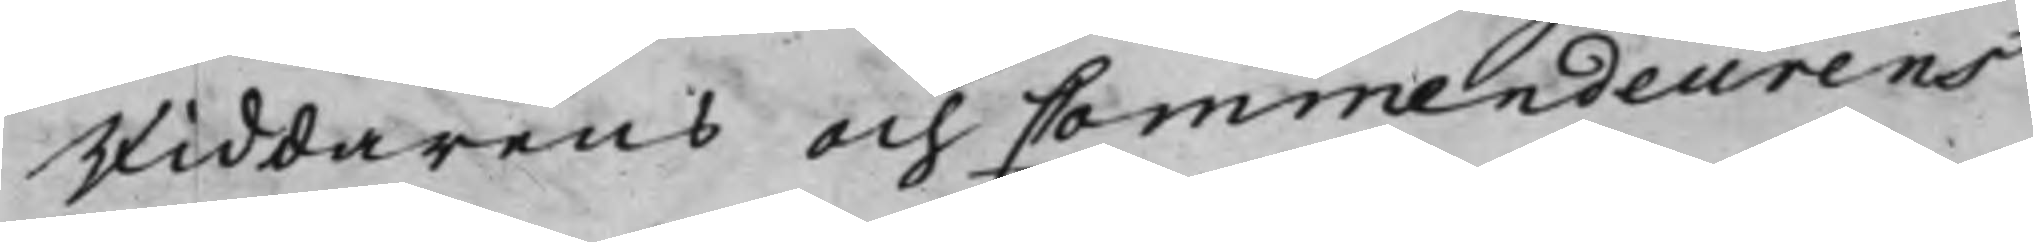Riddarens och Commendeurens
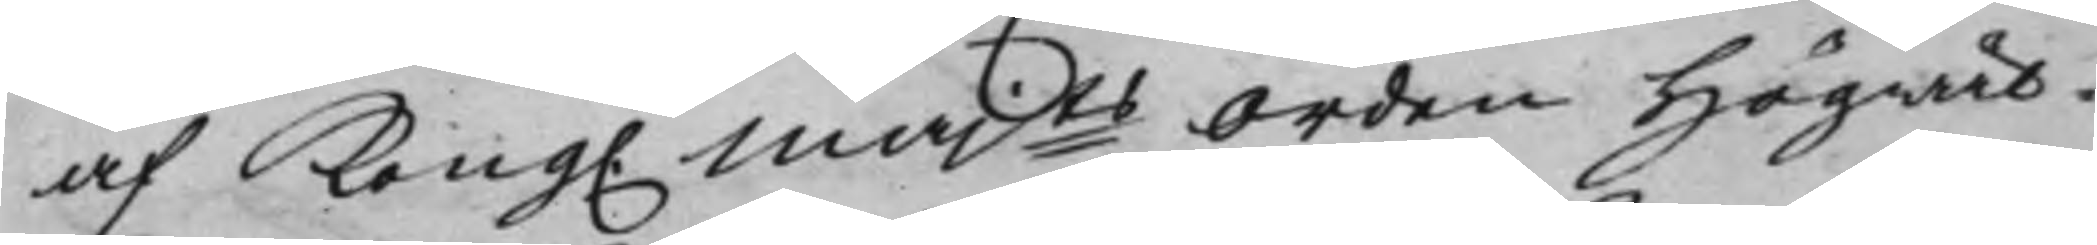af Kong. Majts Orden Högwäl¬
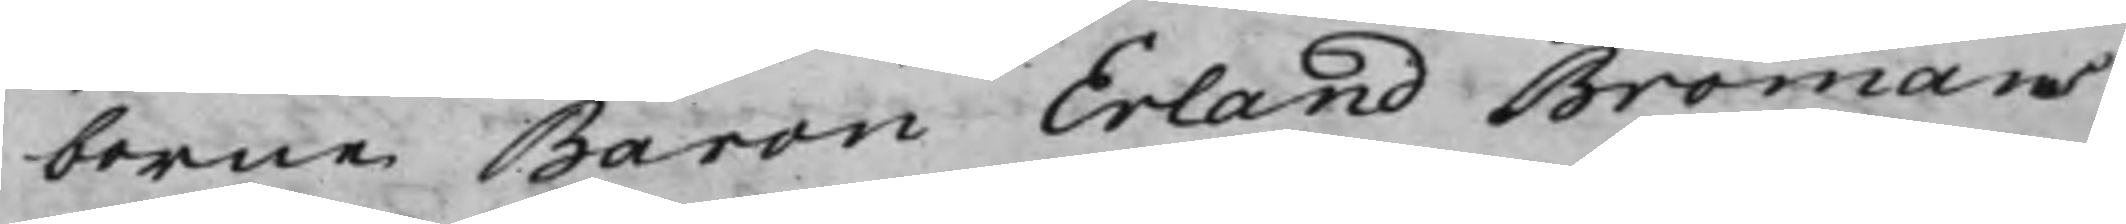borne Baron Erland Bromans
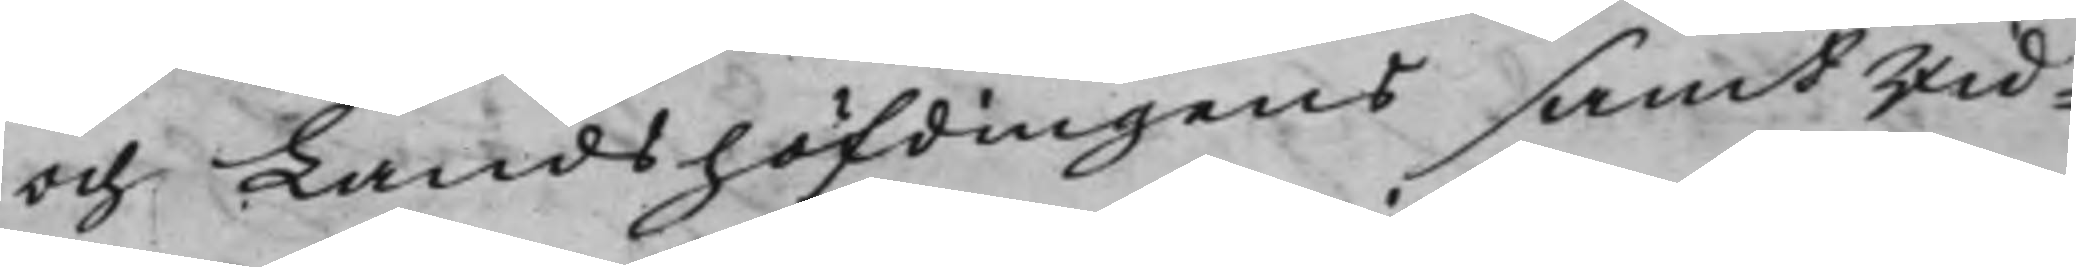och Landshöfdingens samt Rid¬
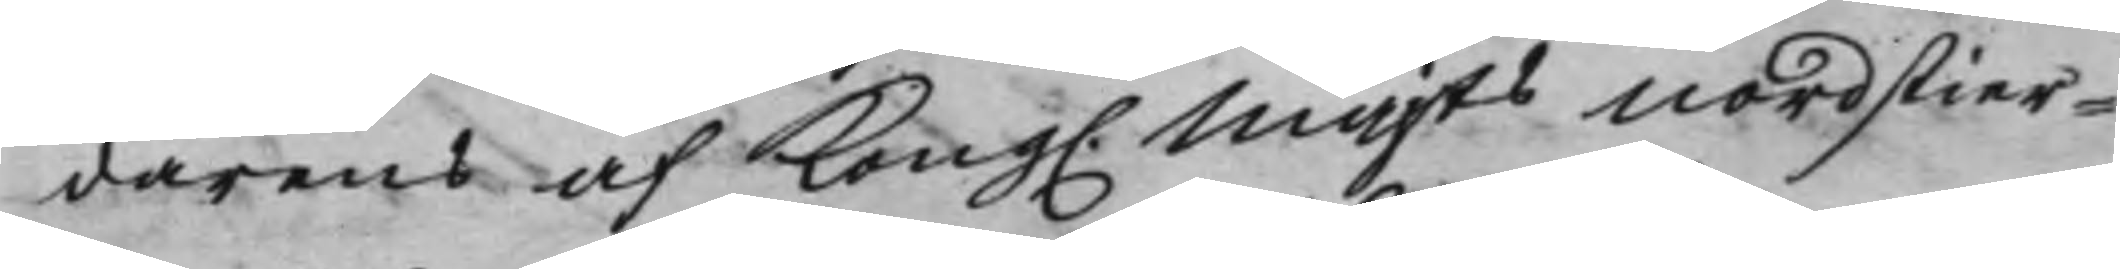darens af Kong. Majts Nordstier¬
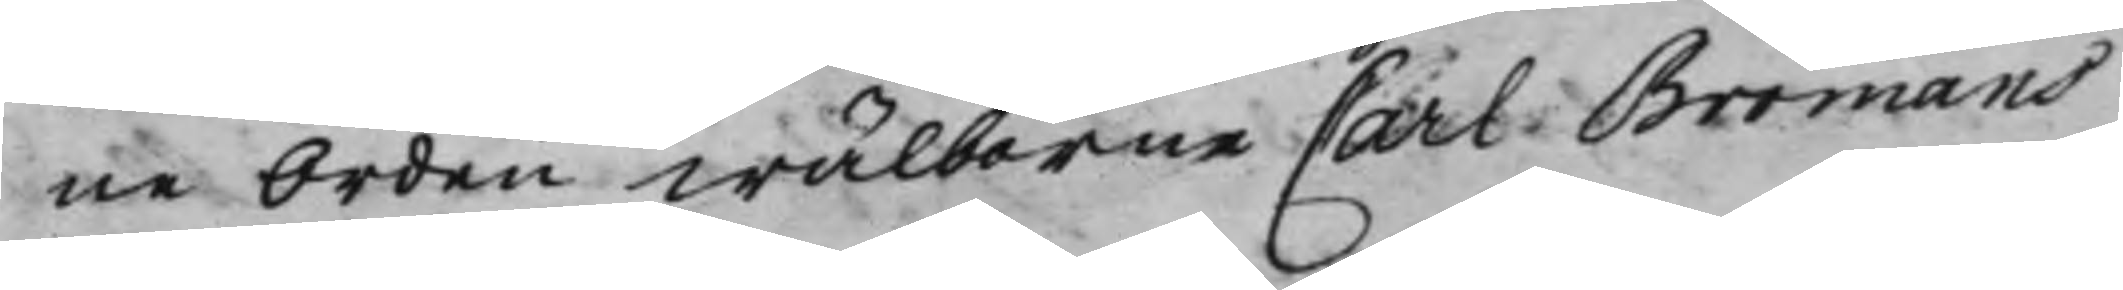ne Orden Wälborne Carl Bromans
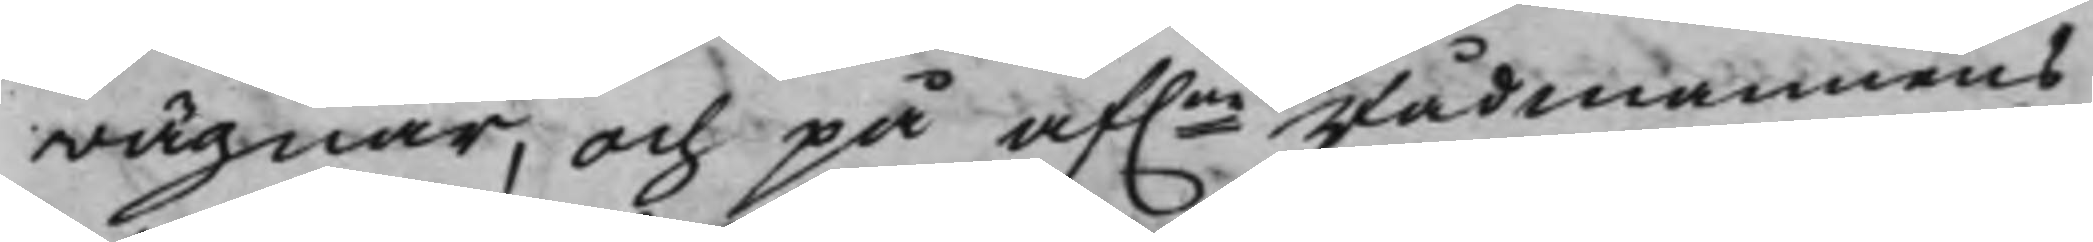wägnar, och på af.ne Rådmannens
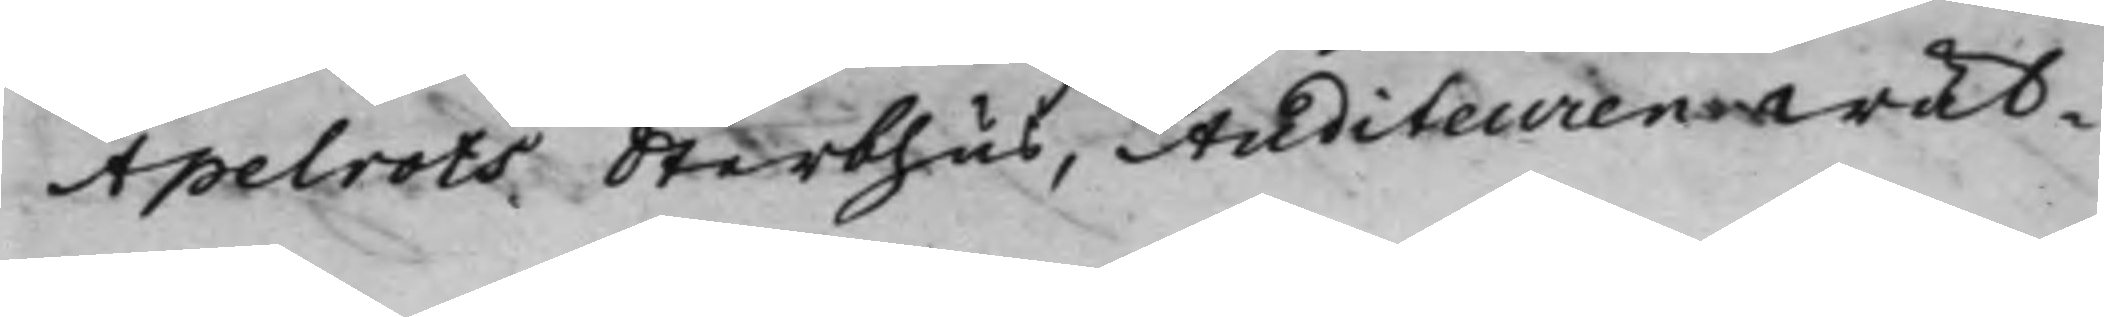Apelrots Sterbhus, Auditeuren Wäl¬¬
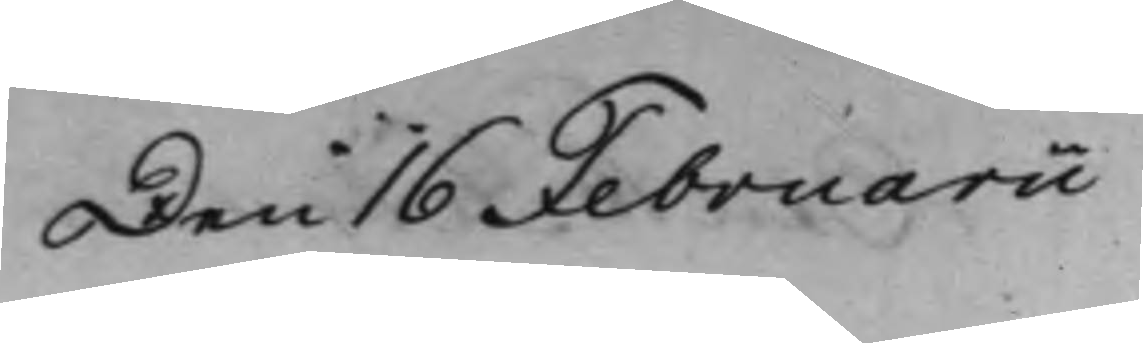Den 16 Februarii
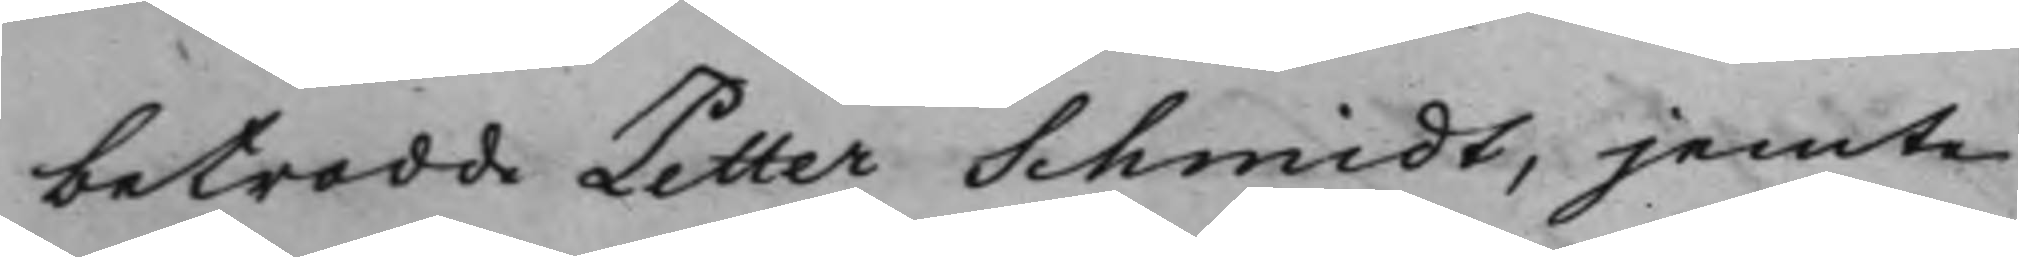betrodde Petter Schmidt, jemte
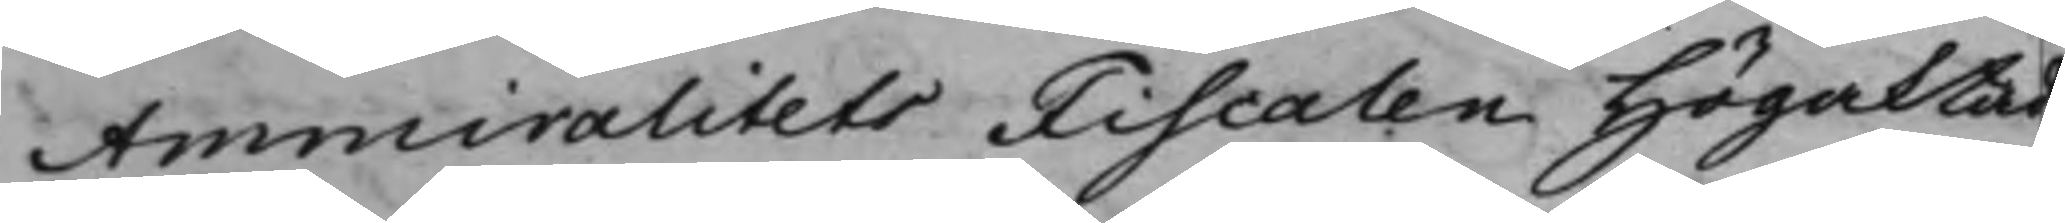Ammiralitets Fiscalen Högaktad
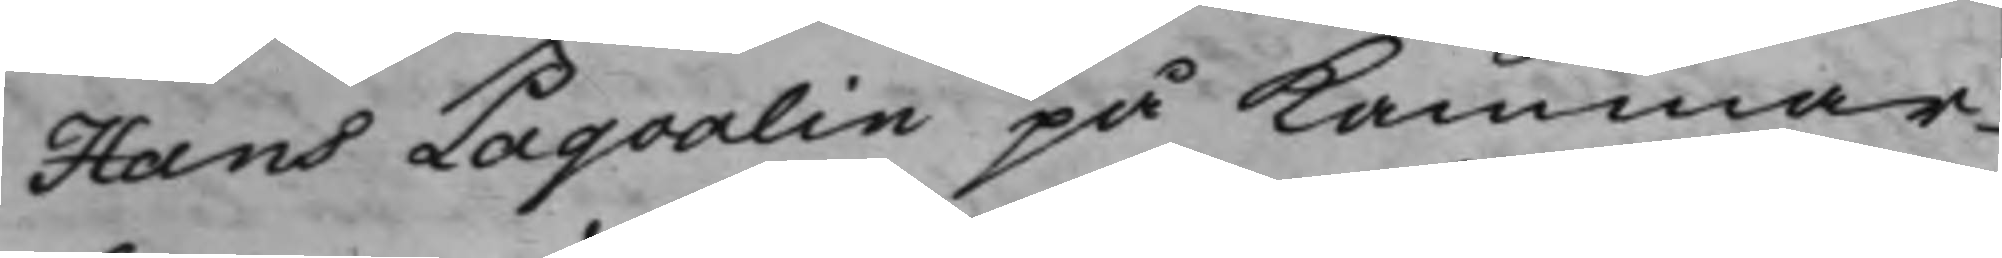Hans Paqvalin på Kammar¬
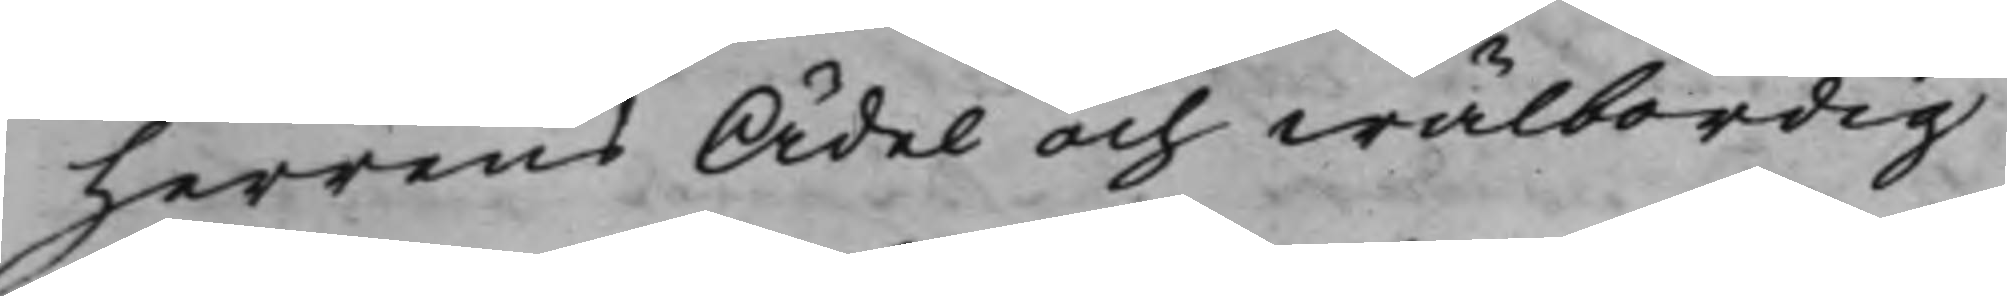herrens Ädel och wälbördig
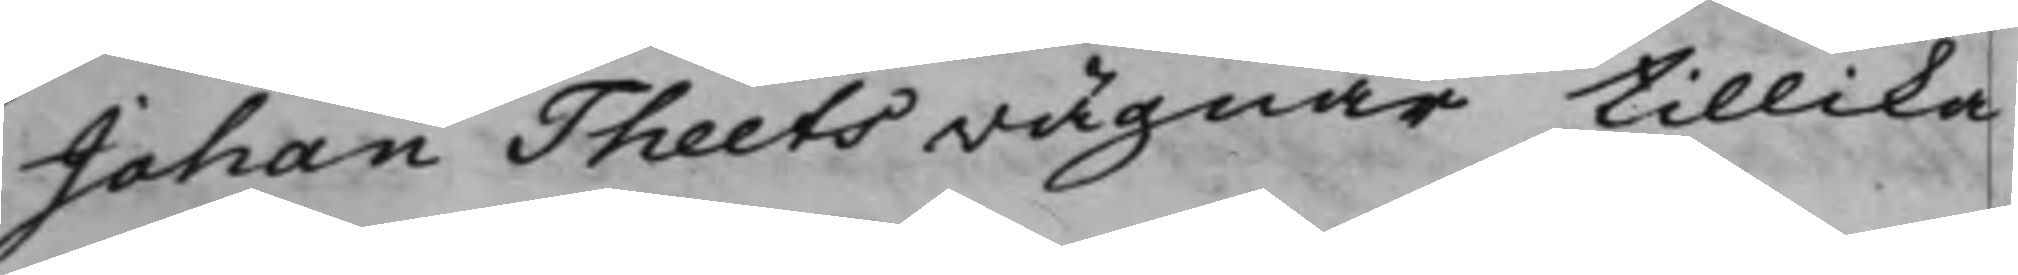Johan Theets wägnar tillika
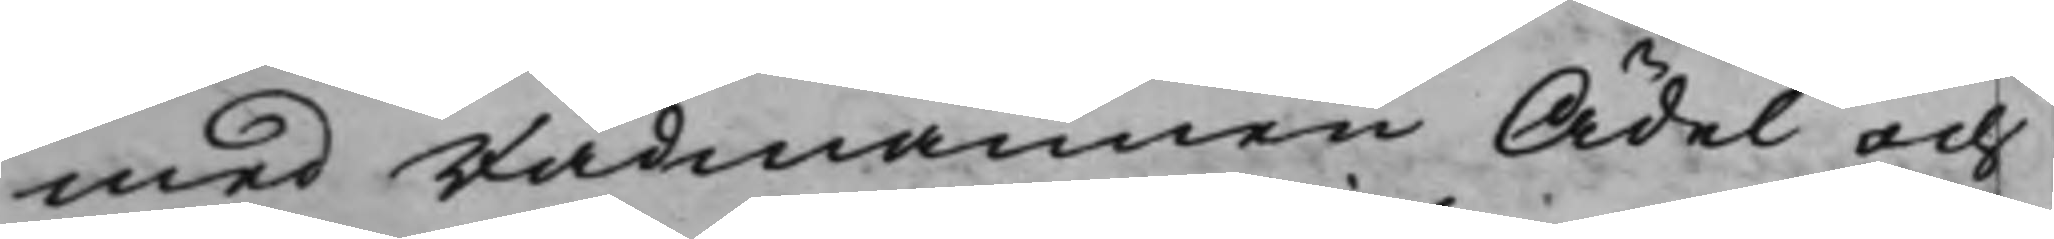med Rådmannen Ädel och
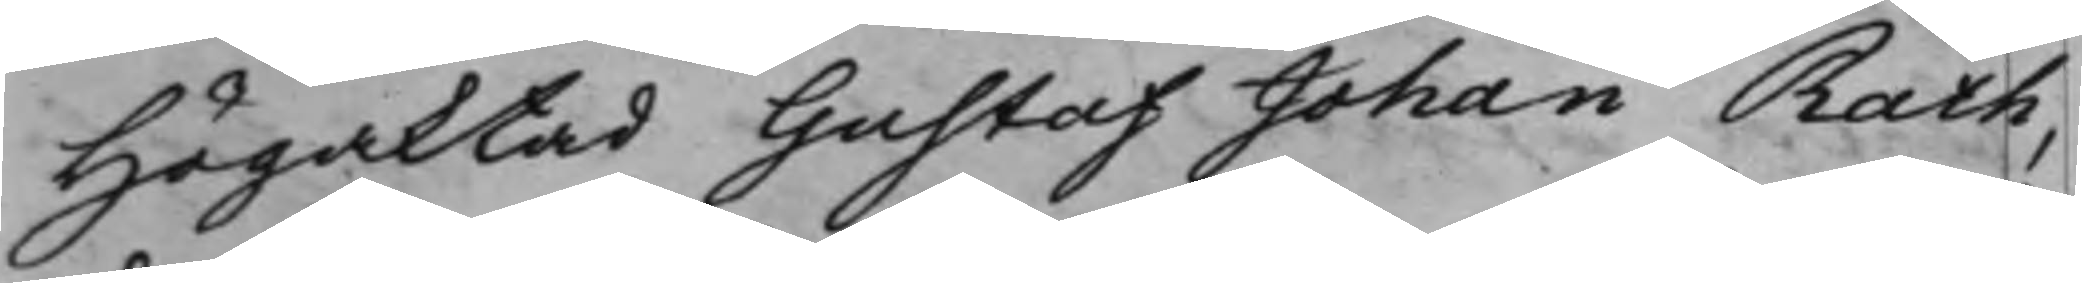Högaktad Gustaf Johan Rath,
